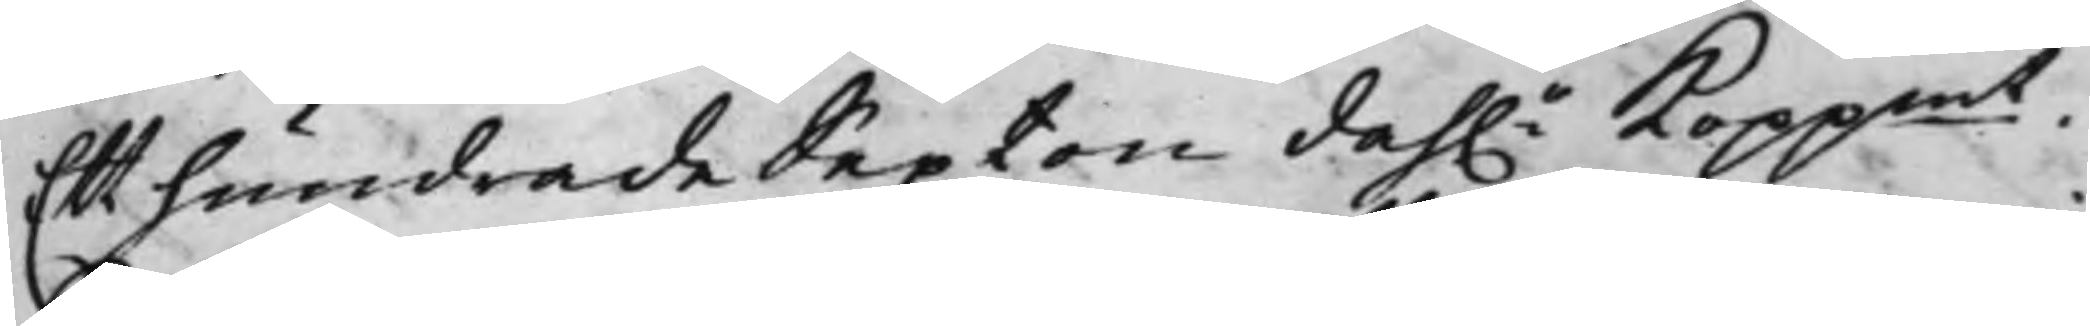Ett hundrade Sexton dah.r Koppmt.
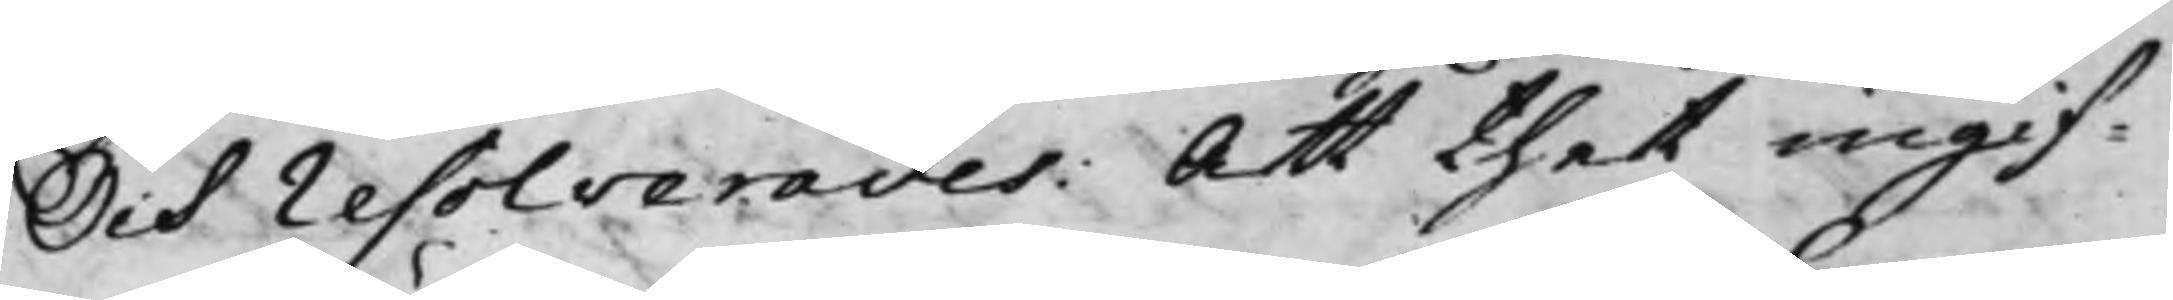Och resolverades: Att thet ingif¬
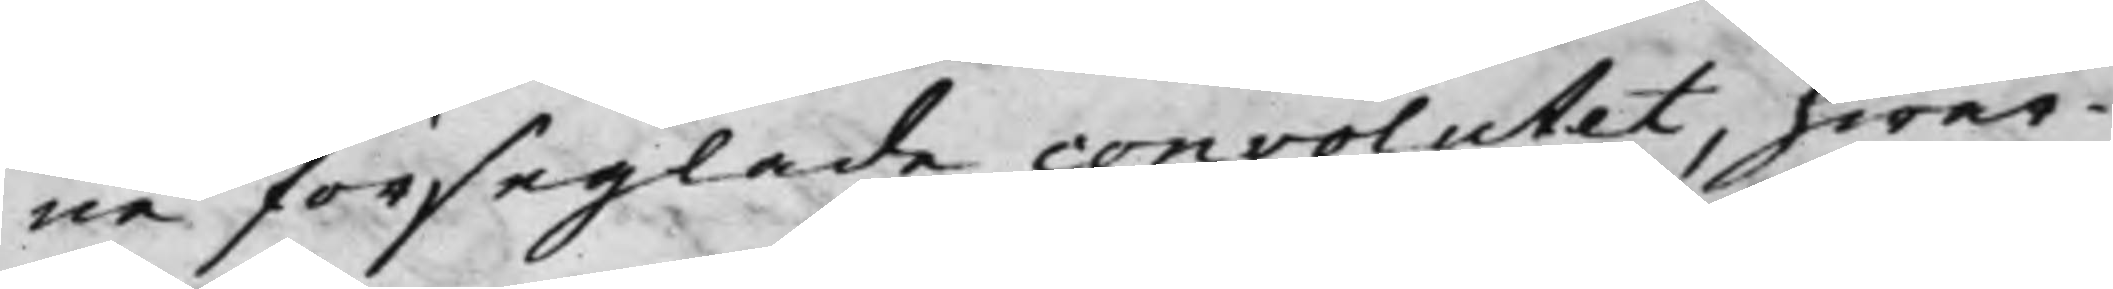na förseglade convolutet, hwar¬
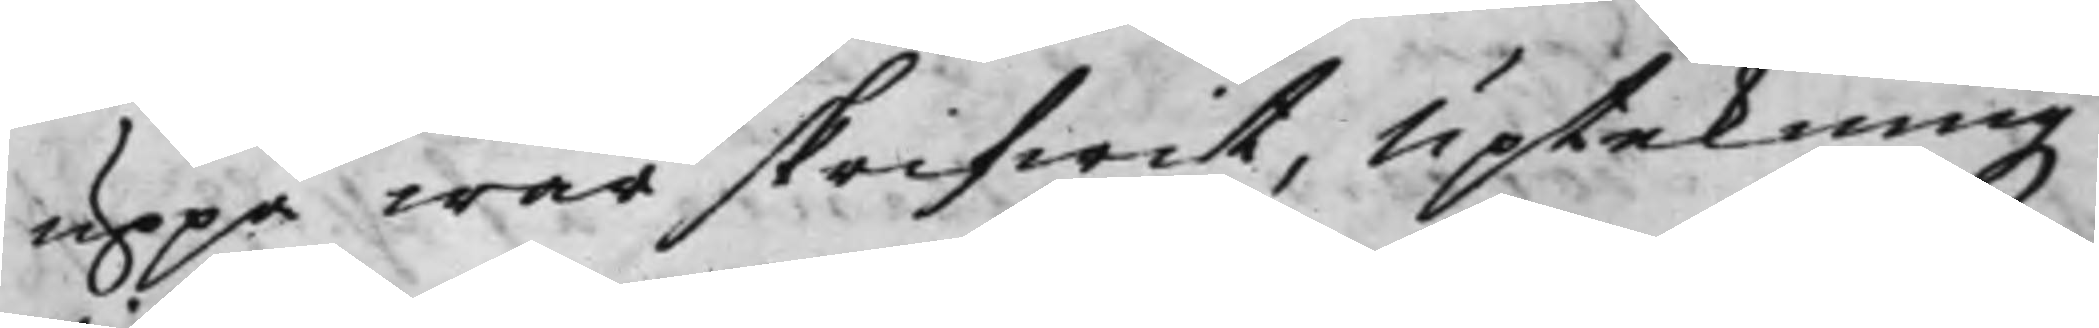uppå war skrifwit, uptekningz¬
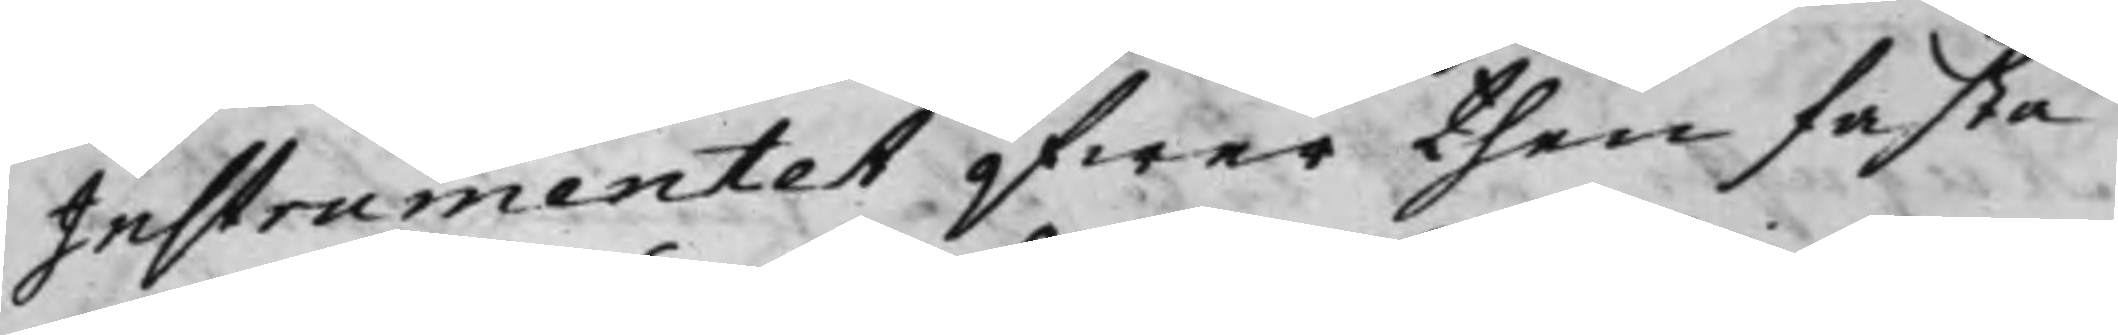Instrumentet öfwer then fasta
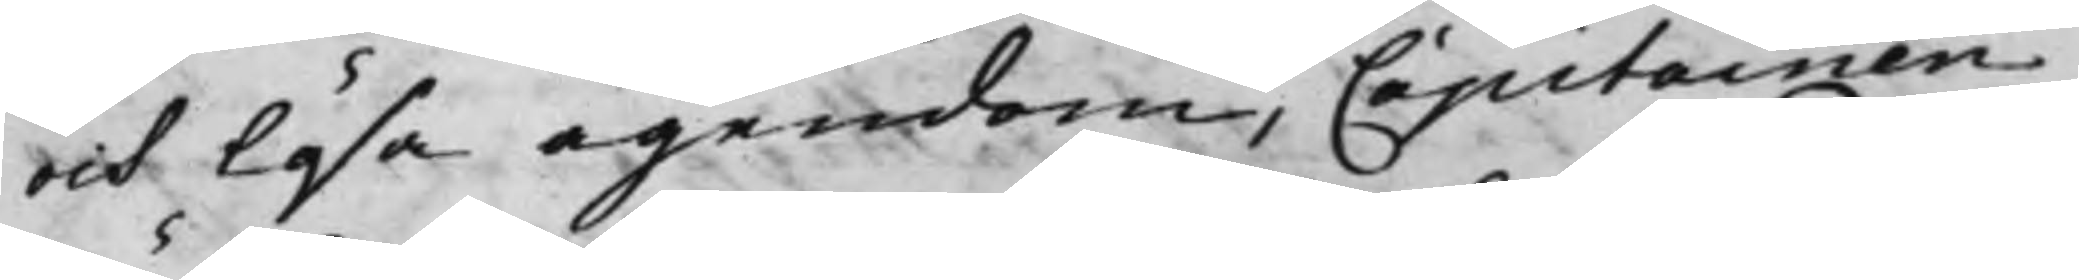och lösa egendom, Capitainen
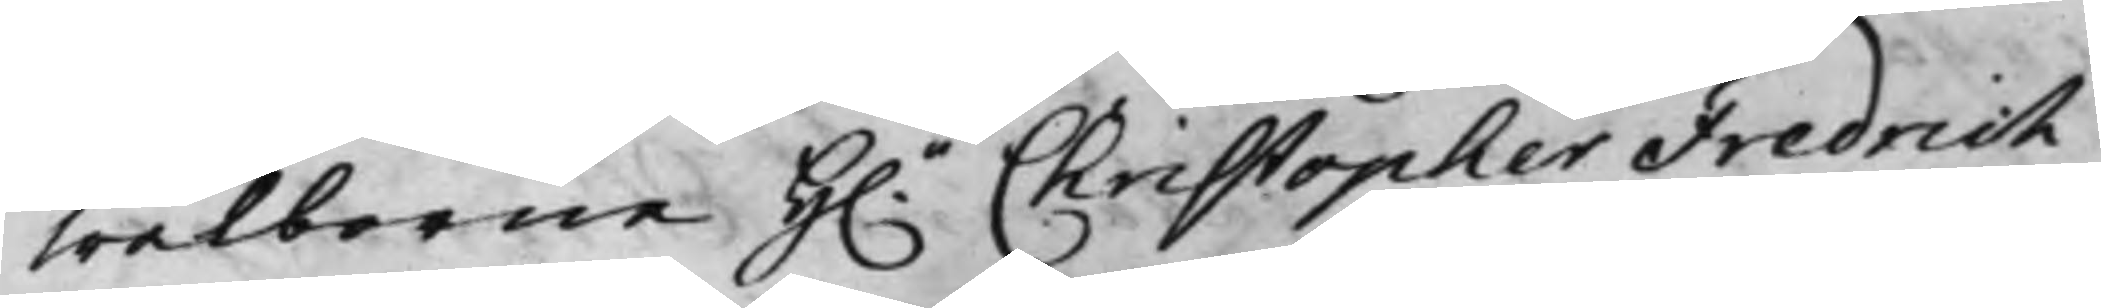wälborne H.r Christopher Fredrich
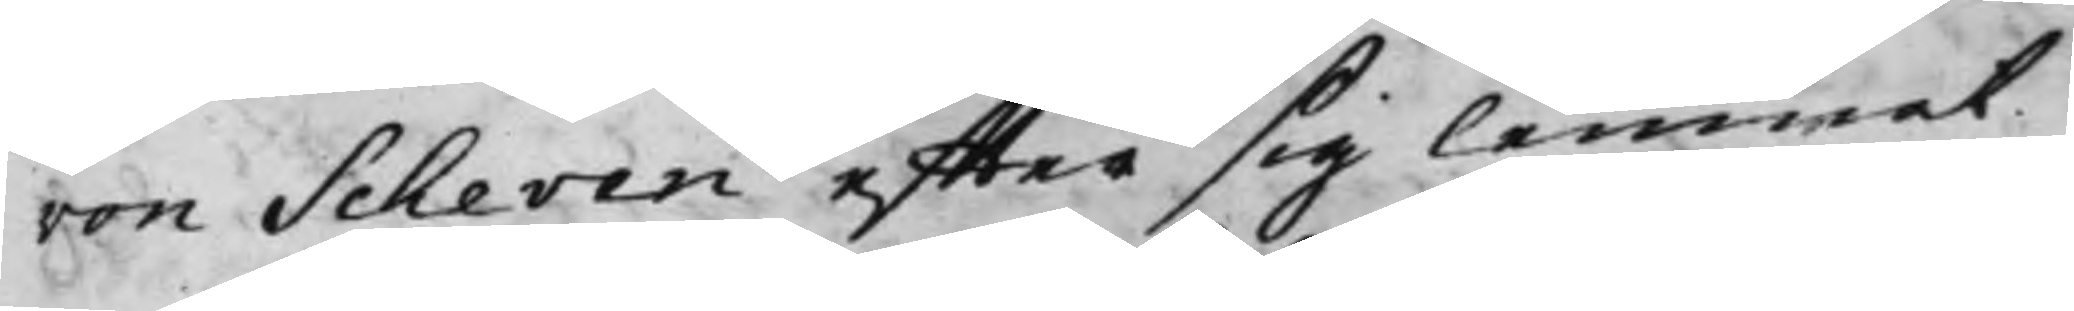von Scheven effter sig lemnat
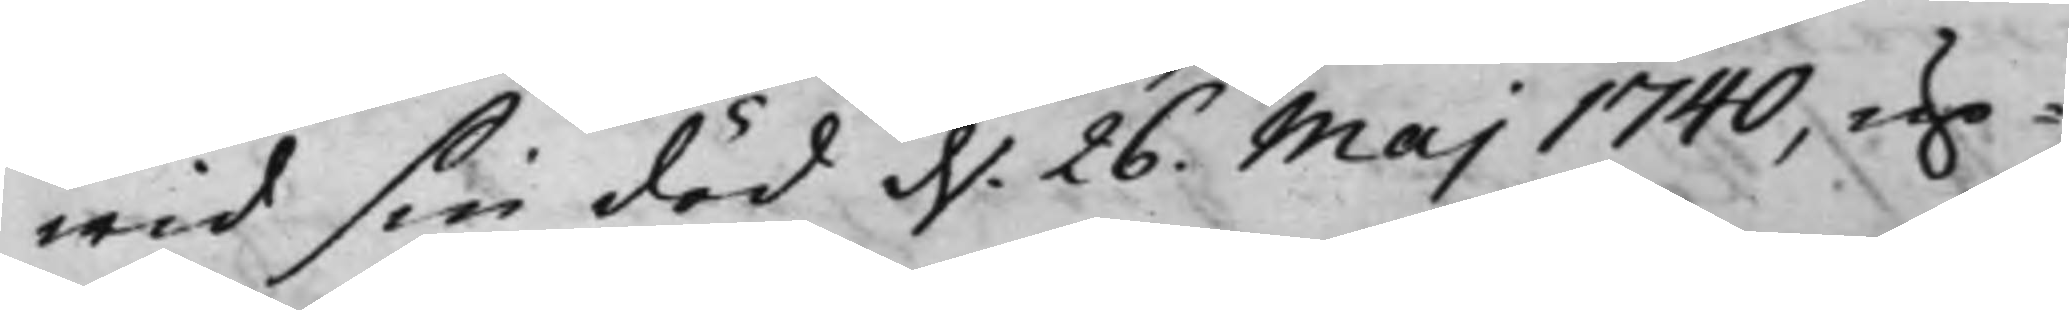wid sin död d. 26. Maj 1740, up¬
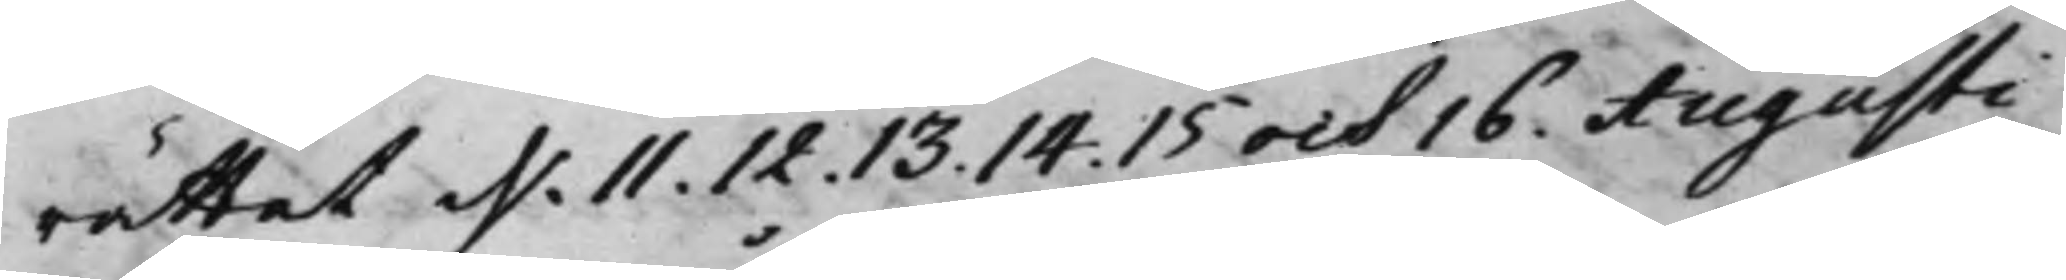rättat d. 11. 12. 13. 14. 15 och 16. Augusti
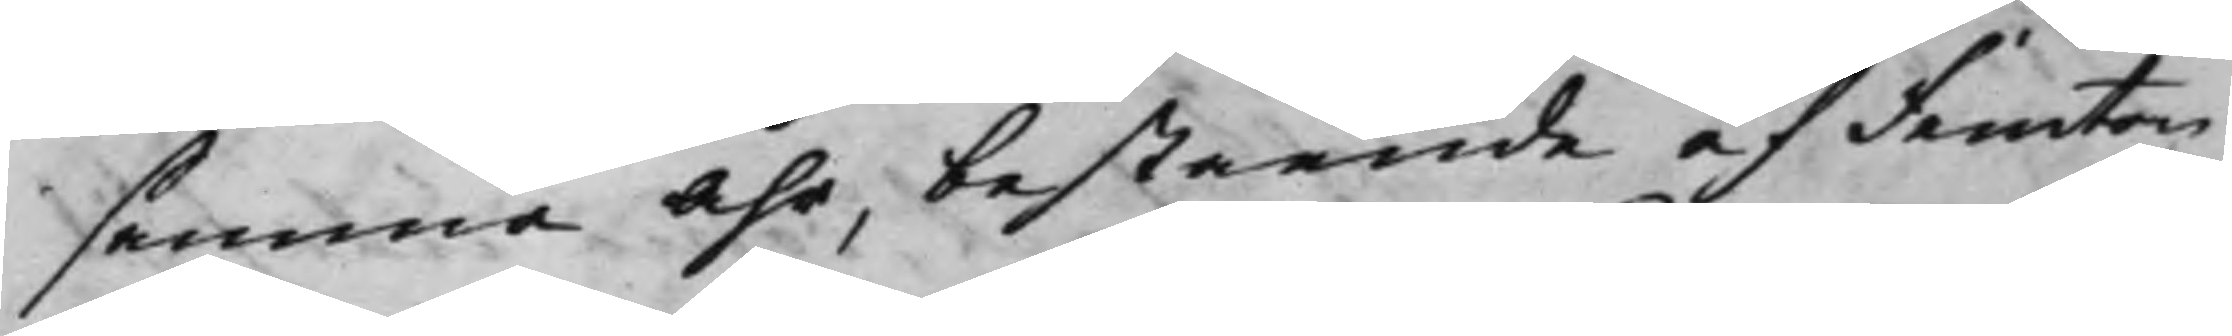samma Åhr, bestående af Femton
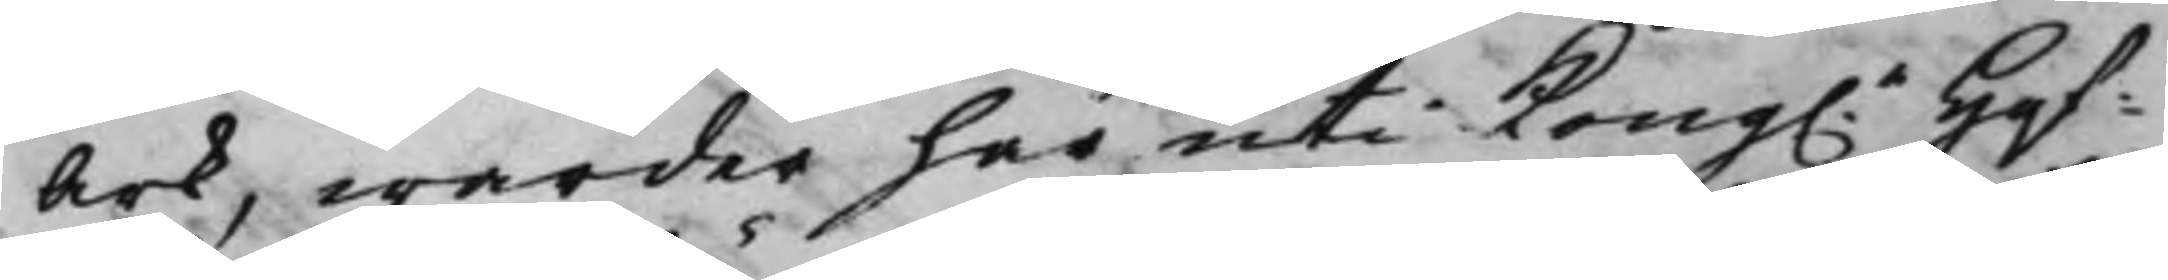ark, warder här uti Kong.e Hof¬
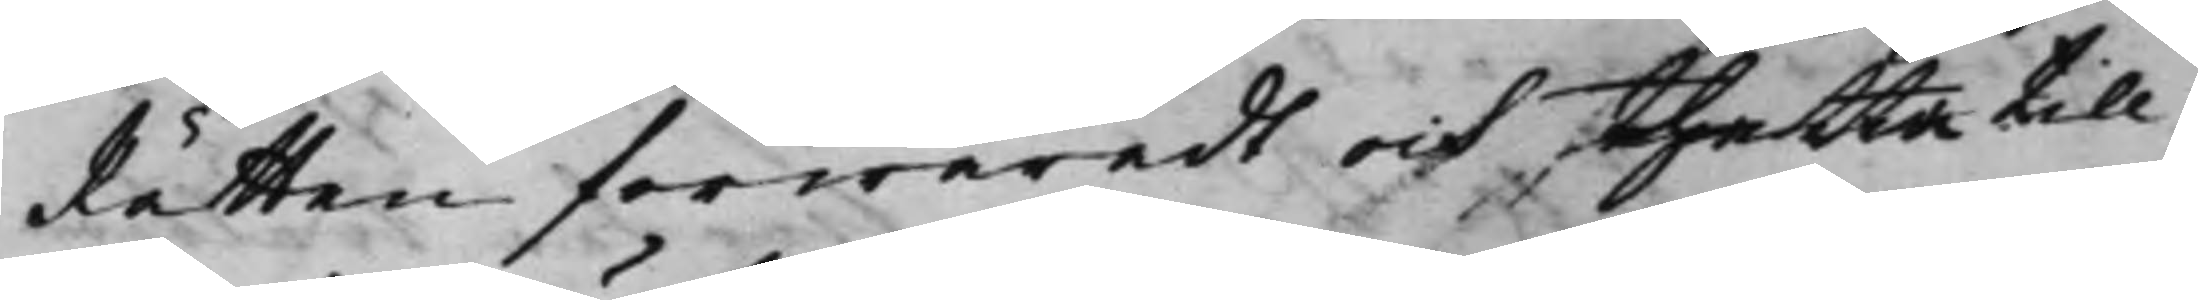Rätten förwaradt och thetta till
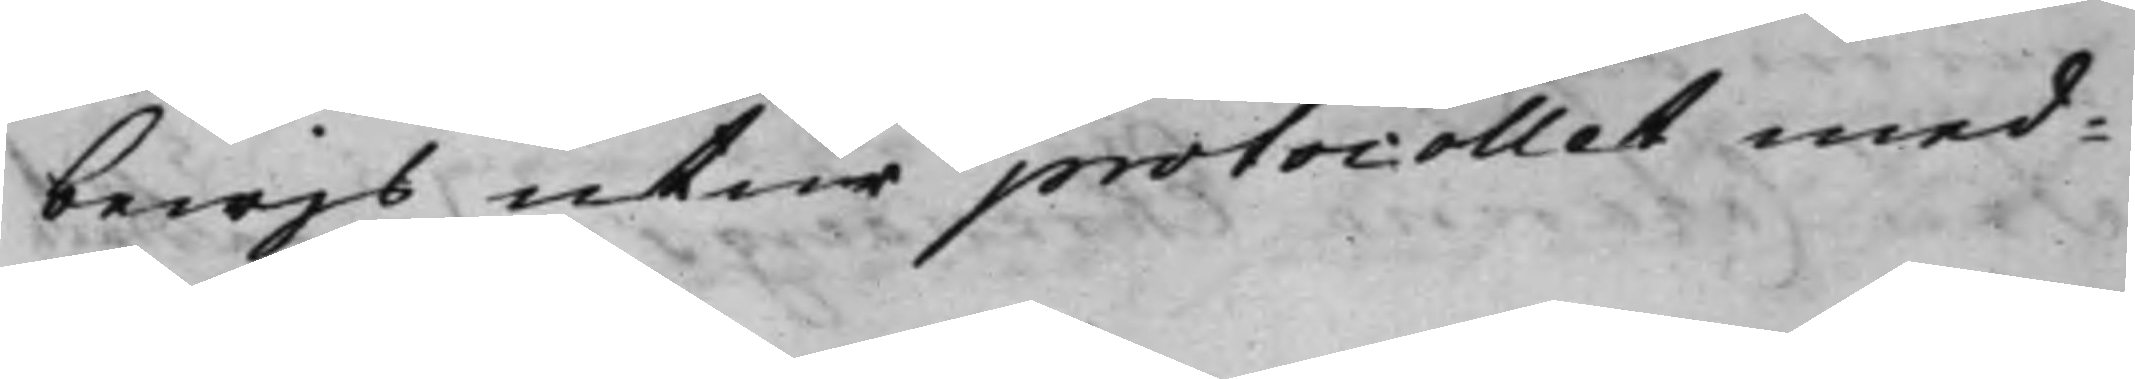bewijs utur protocollet med¬
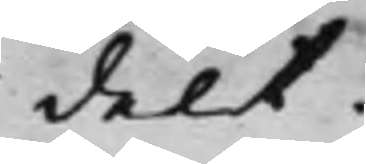delt.
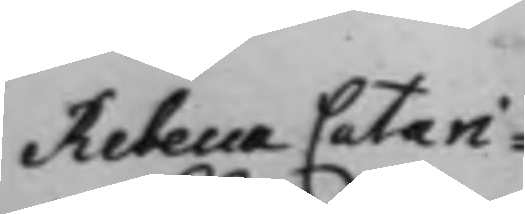Rebecca Catari¬
